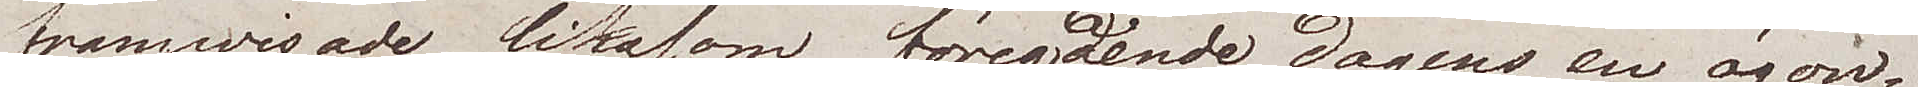framwisade liksom föregående dagens en ögon¬
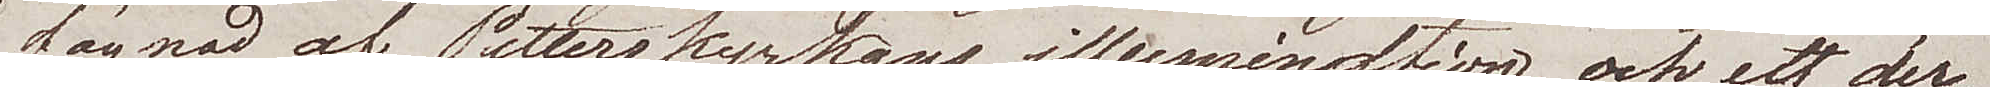fägnad af Petterskyrkans illumination, och ett der¬
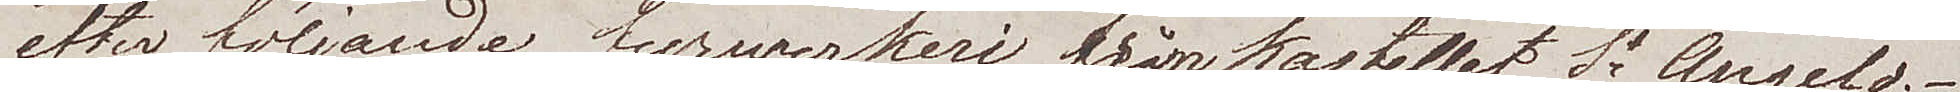efter följande fyrwerkeri från Kastellet St Angelo.
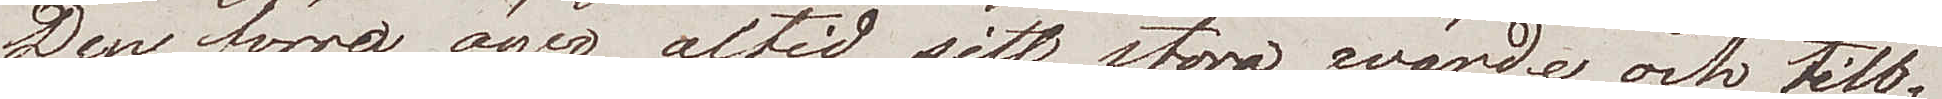Den förra äger altid sitt stora wärde, och till¬
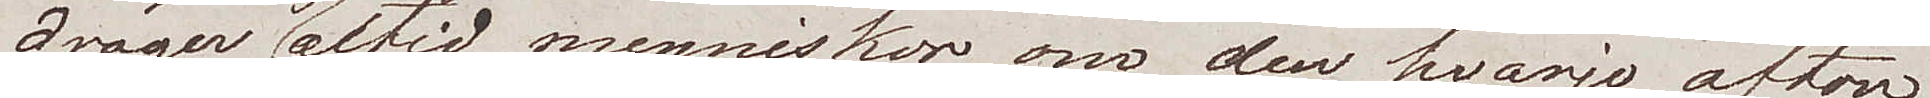drager sig altid menniskor, om den hvarje afton
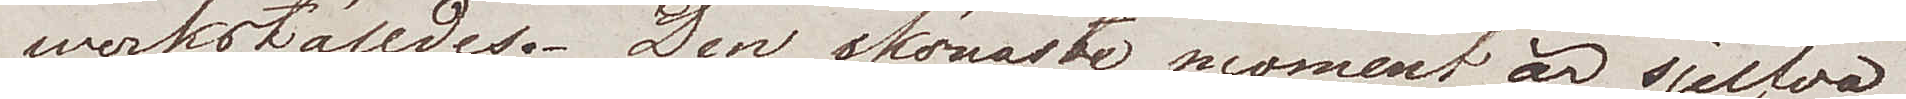werkställdes. Den skönaste moment är sjelfva
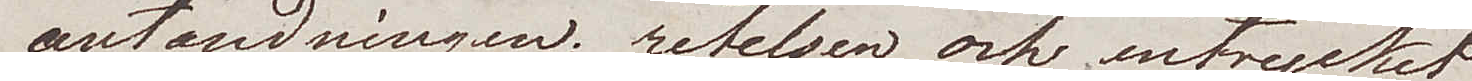antändningen, retelsen och intrycket
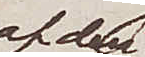af den
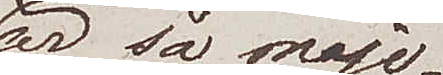så maje¬
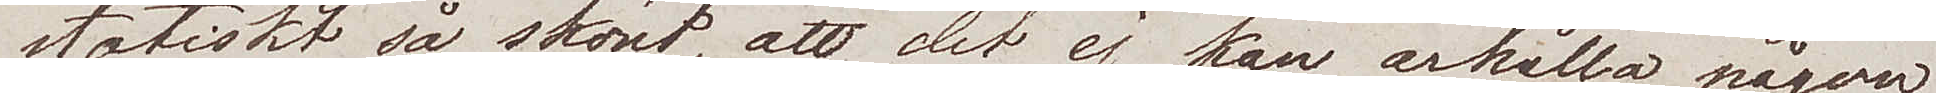stätiskt så skönt, att det ej kan ärhålla någon
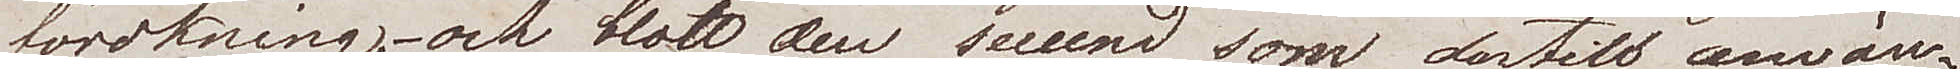förökning, och blott den secund som dertill använ¬
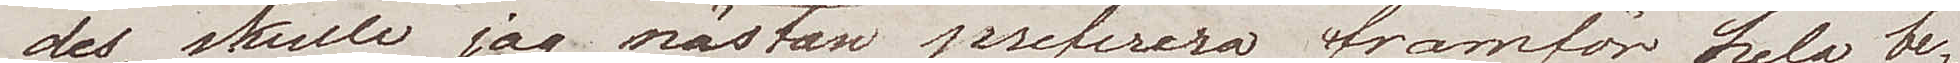des, skulle jag nästan preferera framför hela be¬
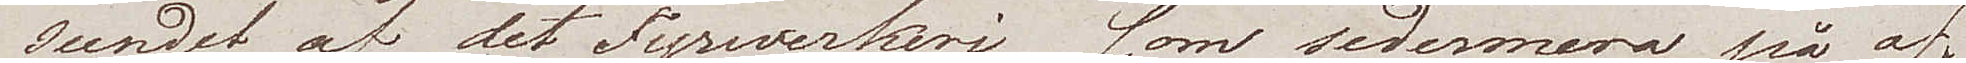seendet af det fyrwerkeri som sedermera på af¬
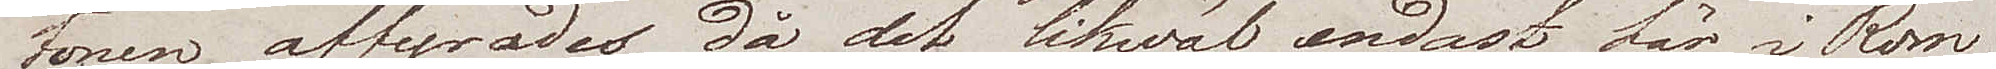tonen affyrades, då det likwäl endast här i Rom
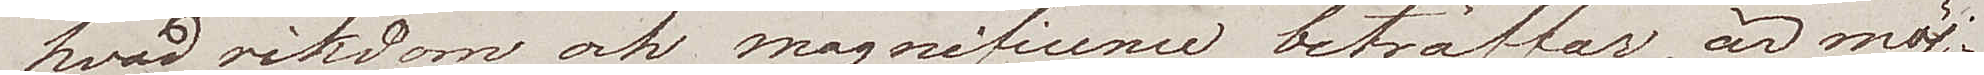hvad rikedom och magnificence beträffar, är möj¬
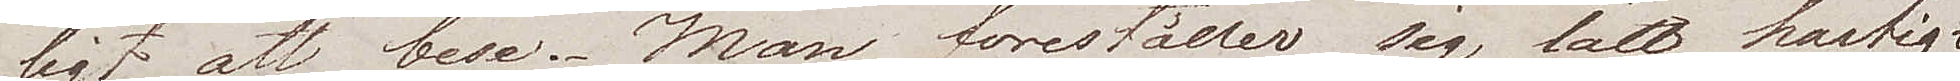ligt att bese. Man föreställer sig lätt härlig¬
